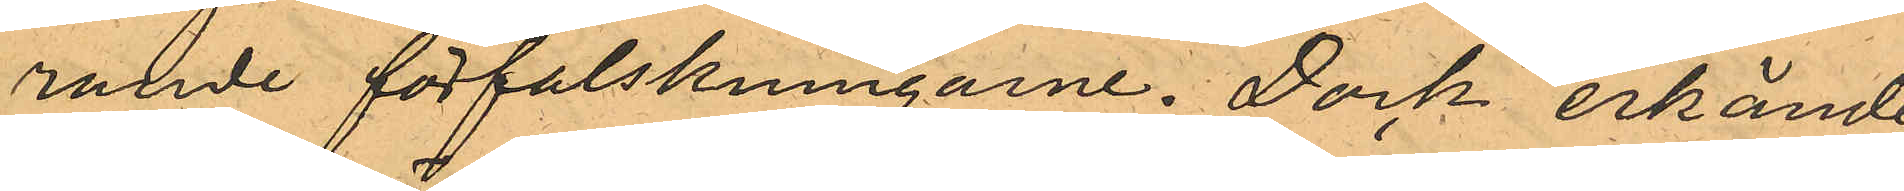rande förfalskningarne. Dock erkände
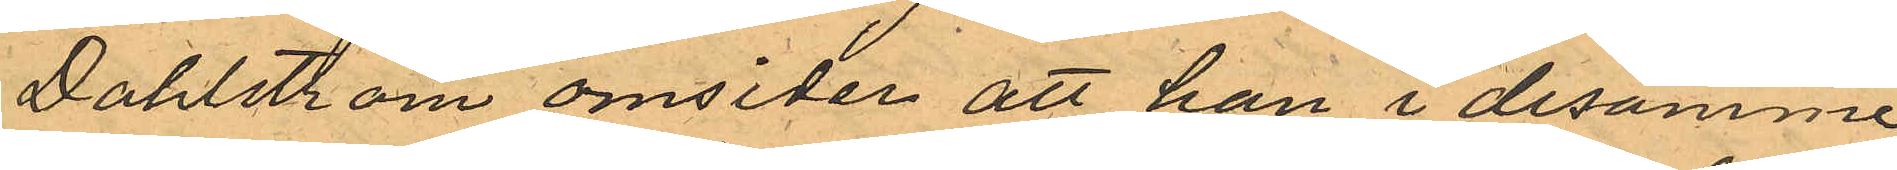Dahlström omsider att han i desamme
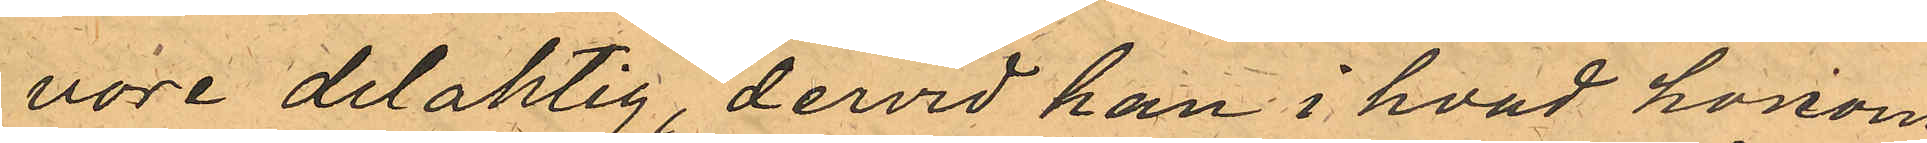vore delaktig, dervid han i hvad honom
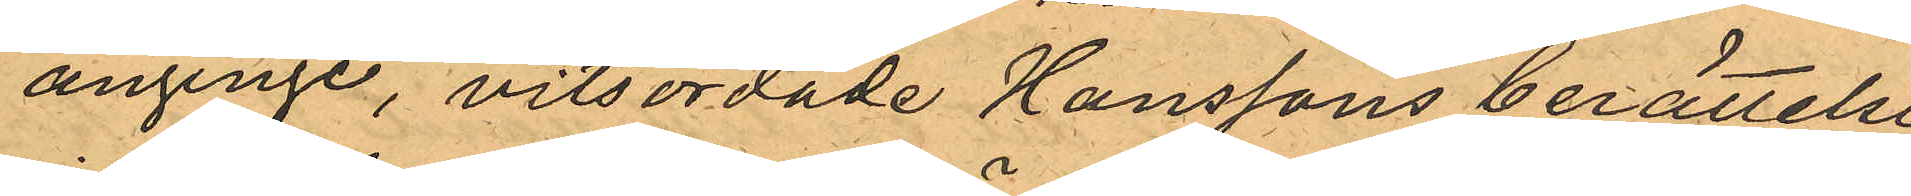anginge, vitsordade Hanssons berättelse,
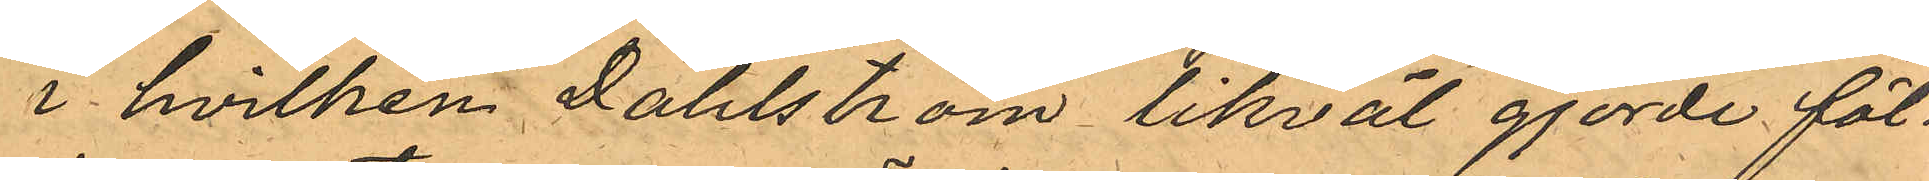i hvilken Dahlström likväl gjorde föl¬
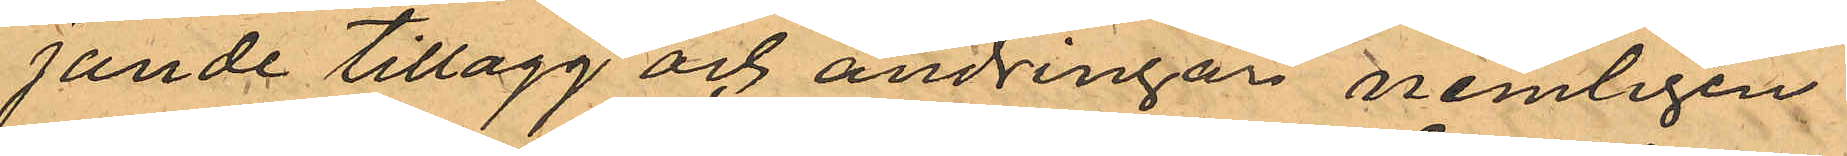jande tillagg och ändringar nemligen:
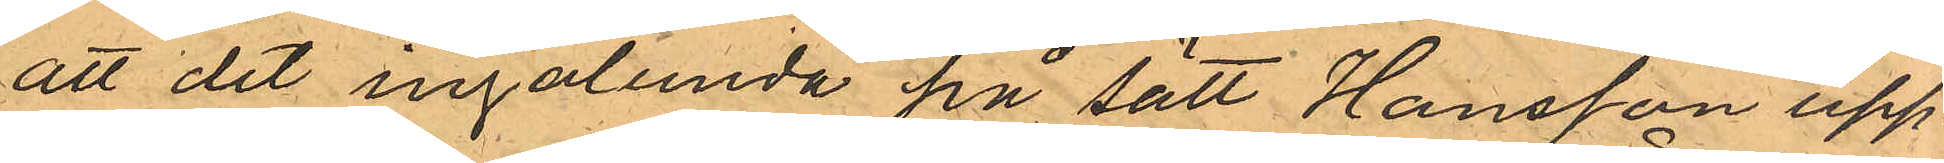att det ingalunda på sätt Hansson upp¬
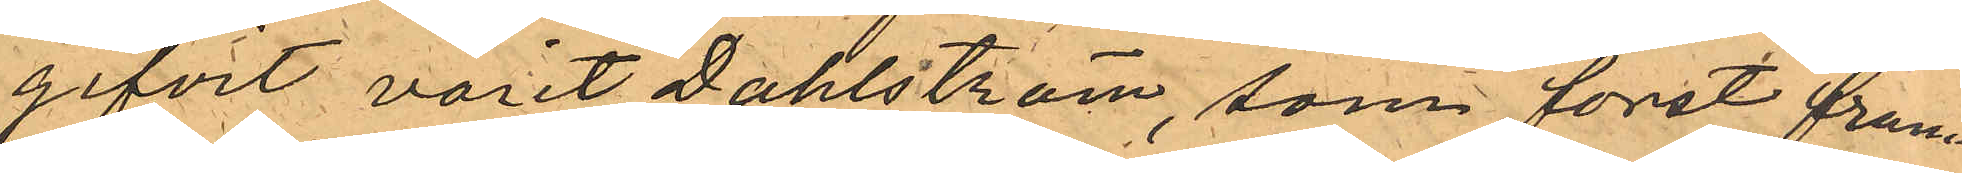gifvit varit Dahlström, som först fram¬
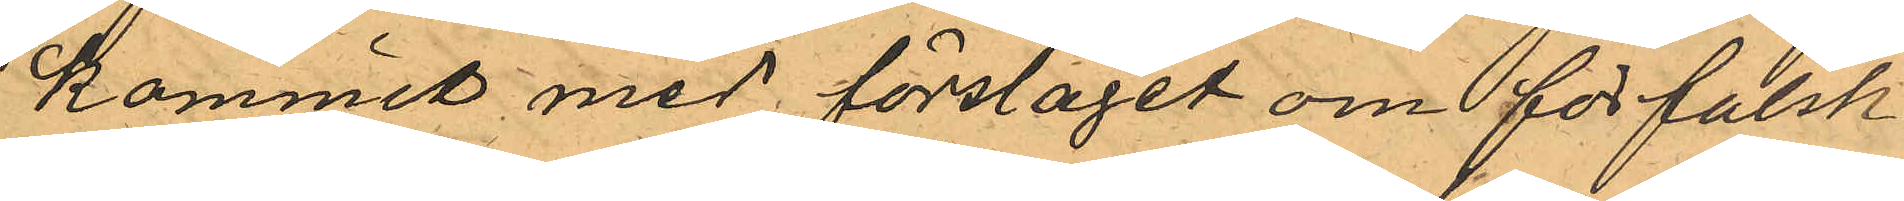kommit med förslaget om förfalsk¬
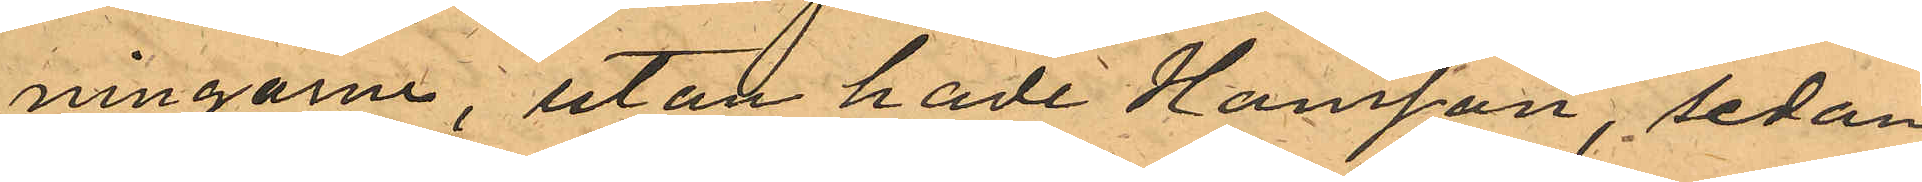ningarne, utan hade Hansson sedan
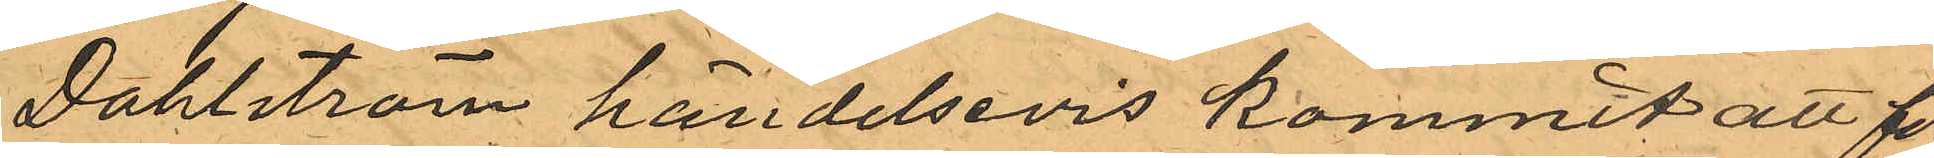Dahlström händelsevis kommit att för
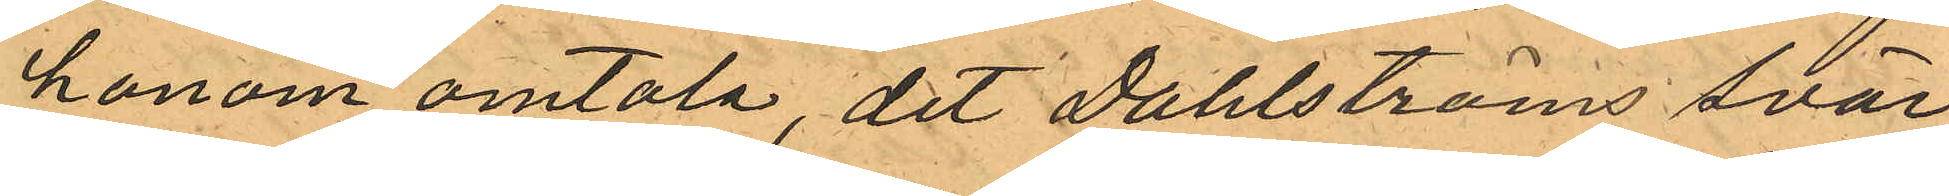honom omtala, det Dahlströms svär-
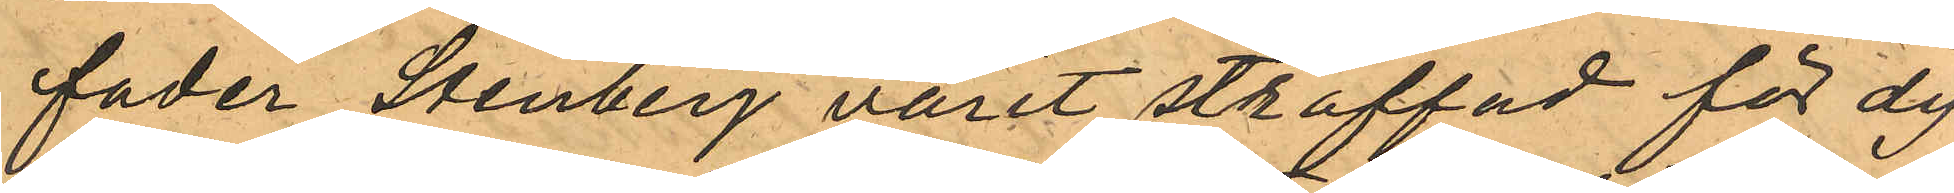fader Stenberg varit straffad för dy¬
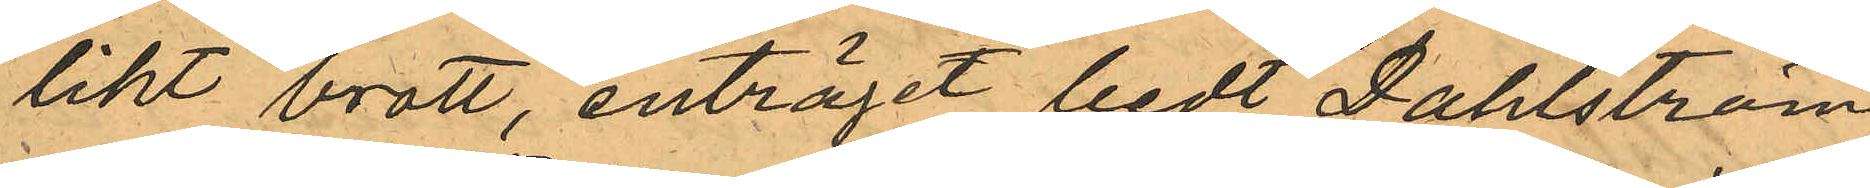likt brott, enträget bedt Dahlström
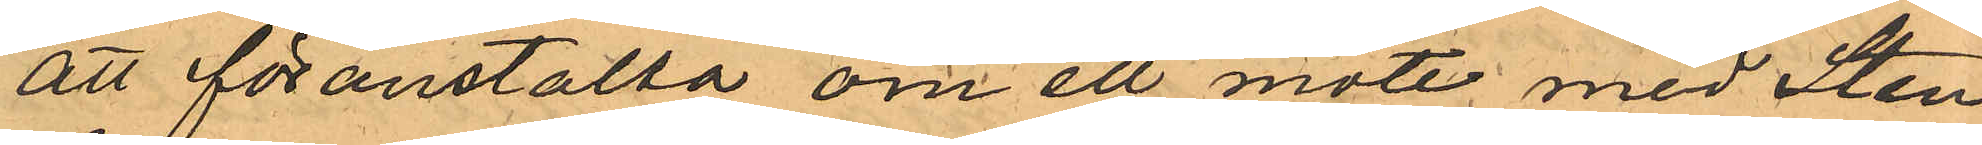att föranstalta om ett möte med Sten¬
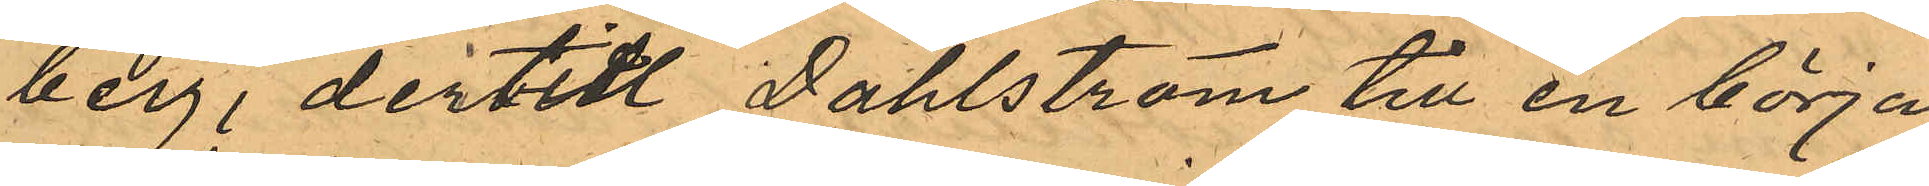berg, dertill Dahlström till en början
